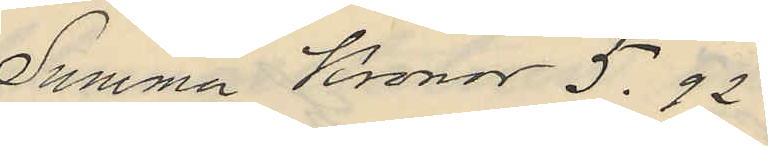Summa Kronor 5.92
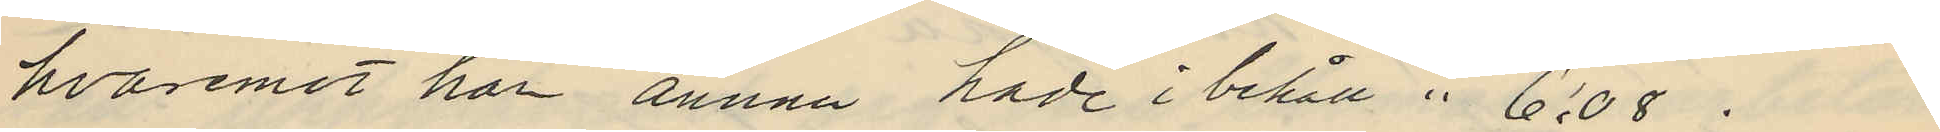hvaremot han ännu hade i behåll " 6:08.
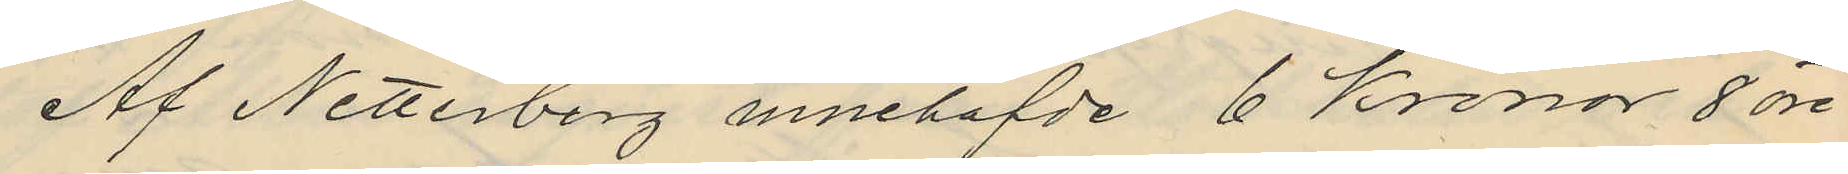Af Netterberg innehafde 6 Kronor 8 öre
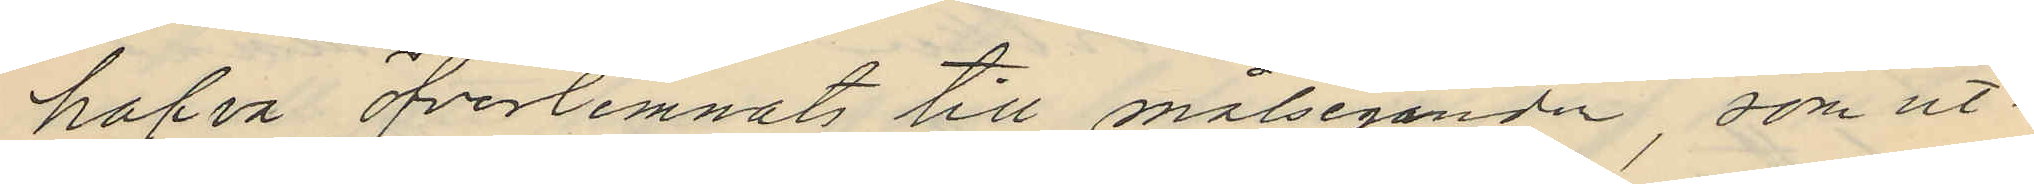hafva fverlemnats till målseganden, som ut¬
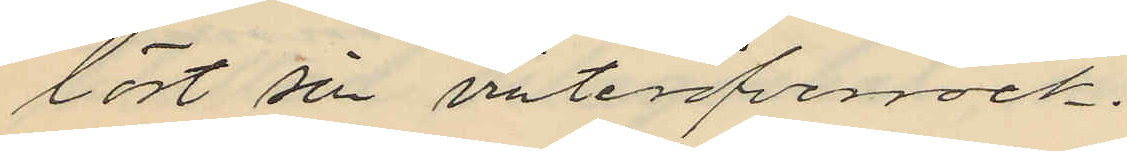löst sin vinteröfverrock.
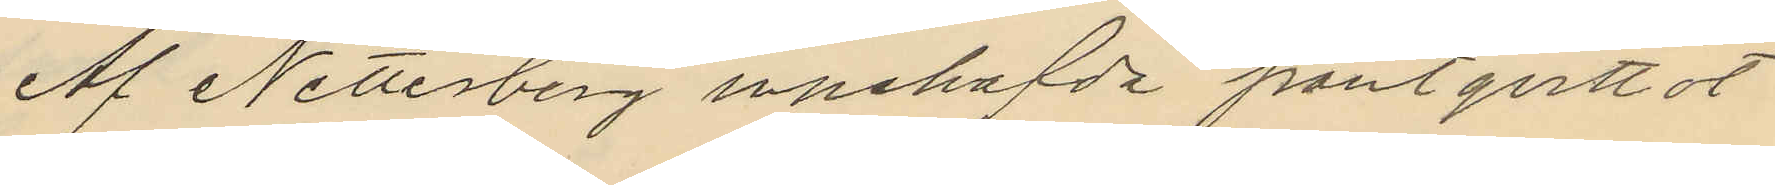Af Netterberg innehafda pantqvittot
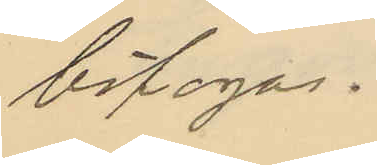bifogas.
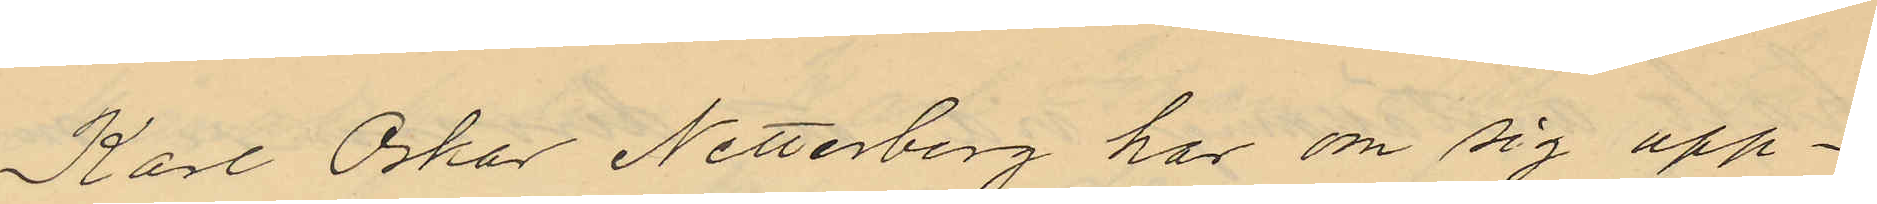Karl Oskar Netterberg har om sig upp¬
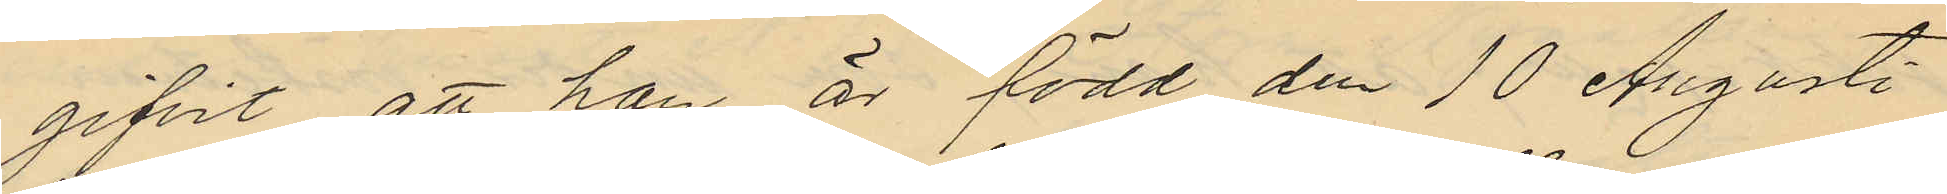gifvit att han är född den 10 Augusti
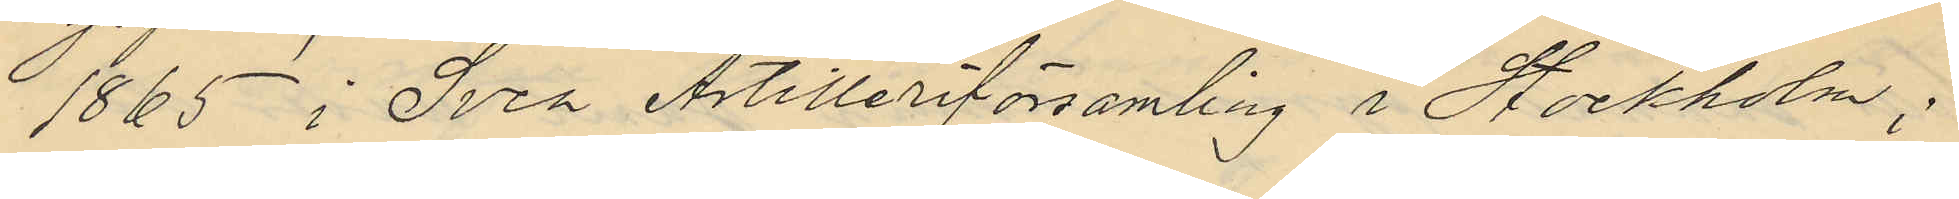1865 i Svea Artilleriförsamling i Stockholm;
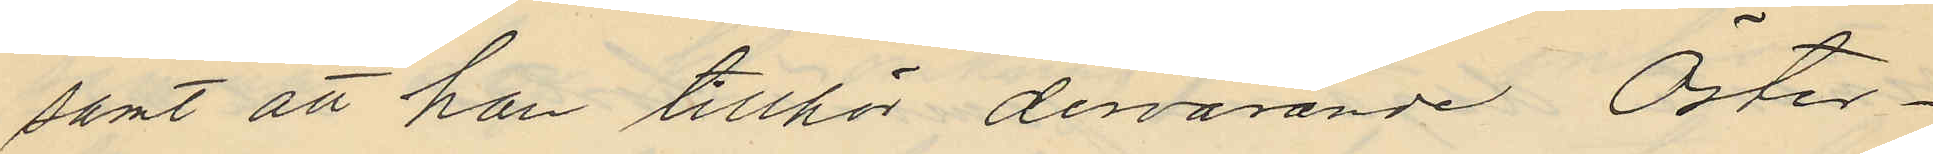samt att han tillhör dervarande Öster¬
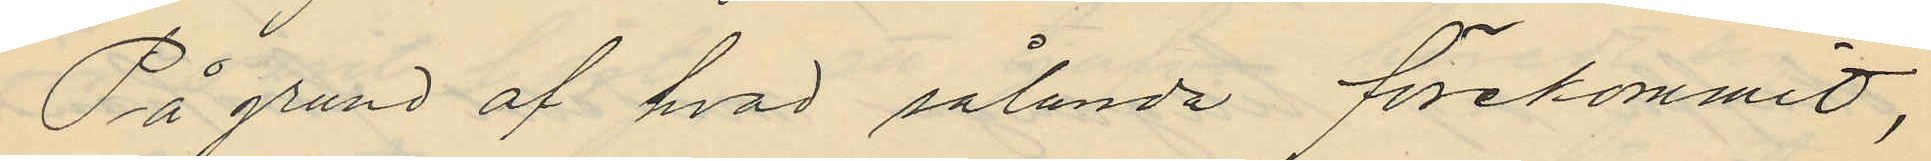På grund af hvad sålunda förekommit,
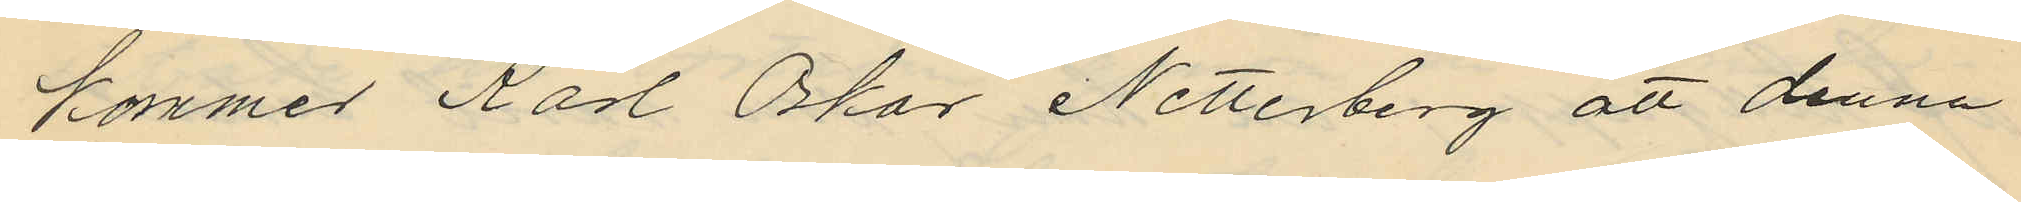kommer Karl Oskar Netterberg att denna
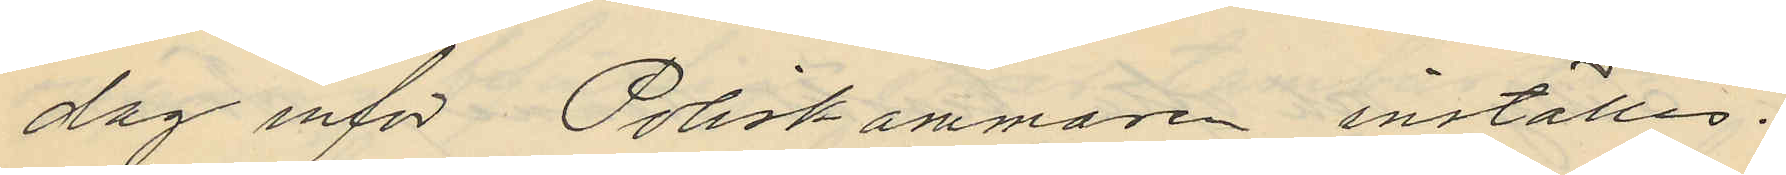dag inför Poliskammaren inställas.
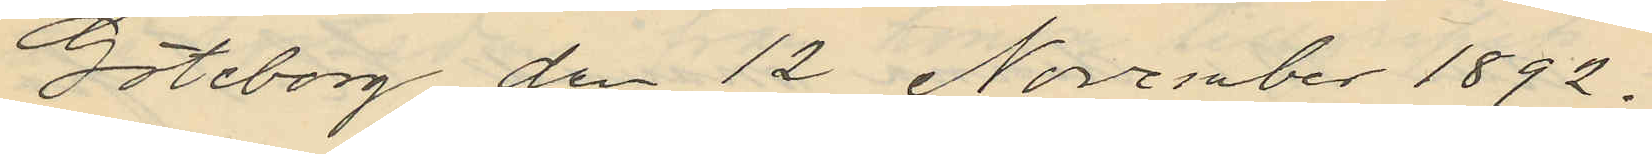Göteborg den 12 November 1892.
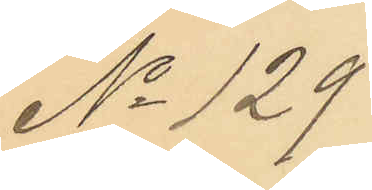No 129
